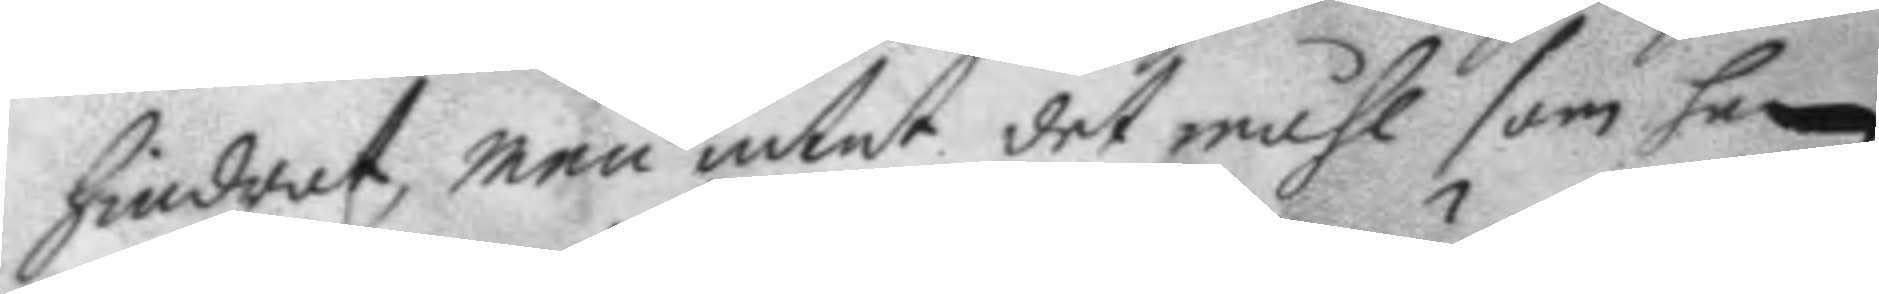hindrat, men intet det måhl som han
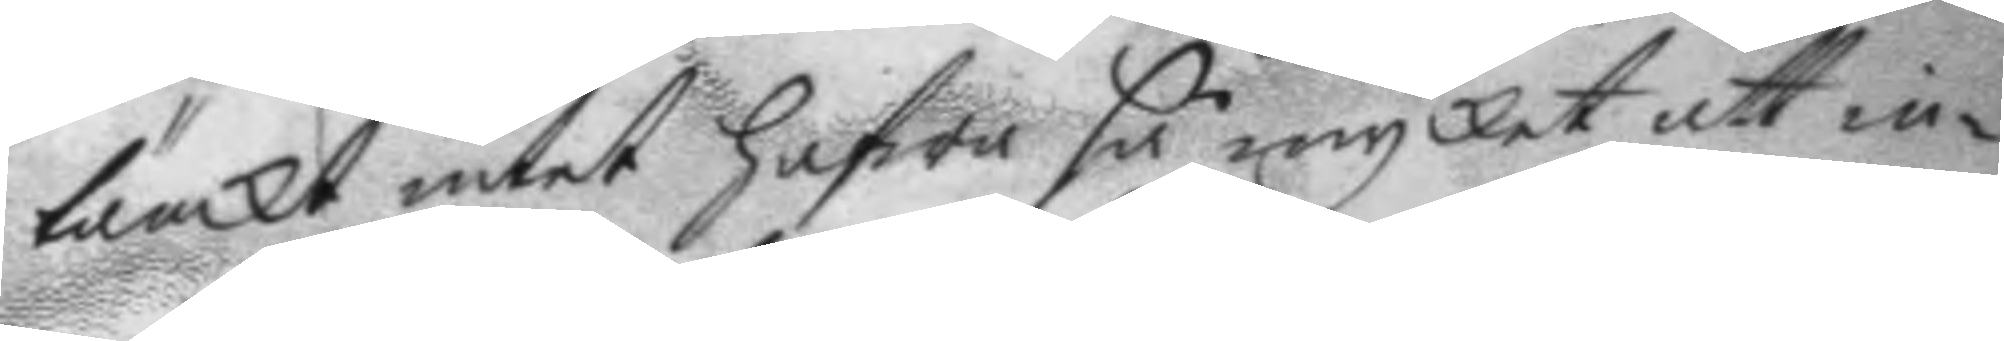tänkt intet hafwa så mycket att in¬
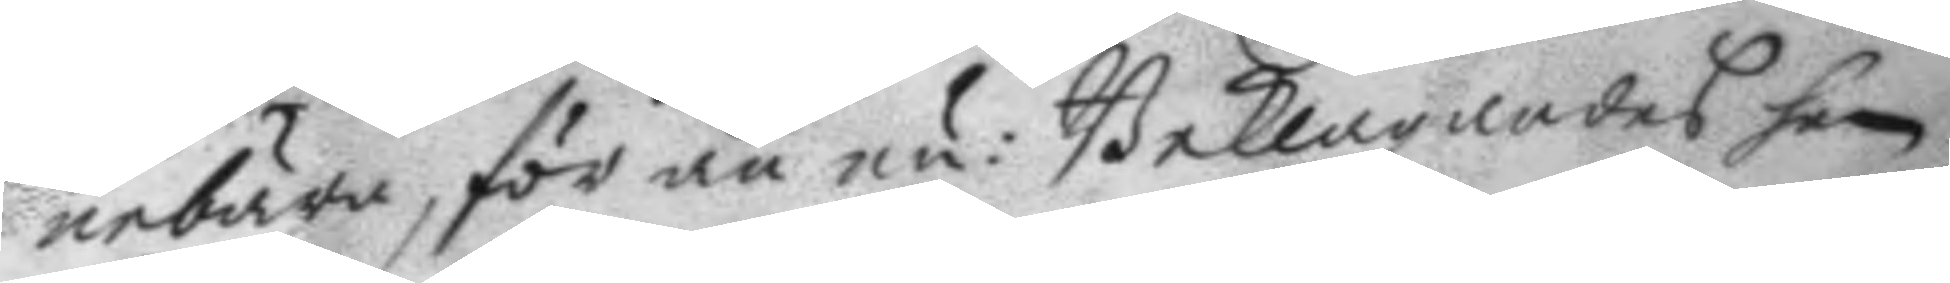nebära, för än nu: Beklagandes han
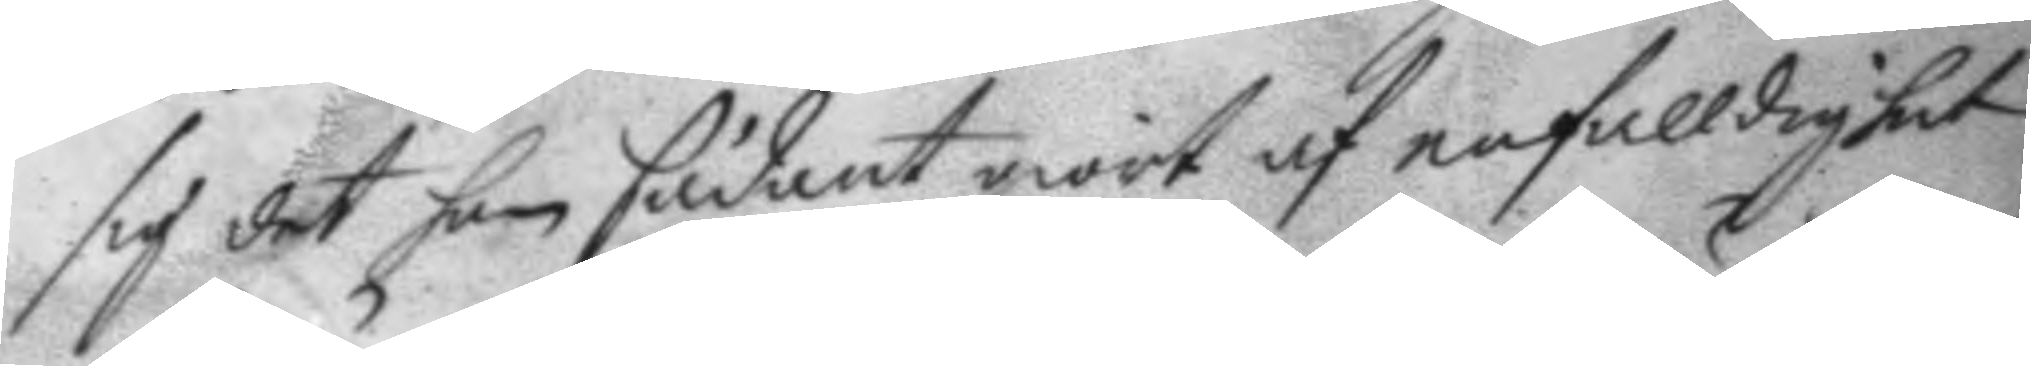sig det han sådant giort af enfalldighet
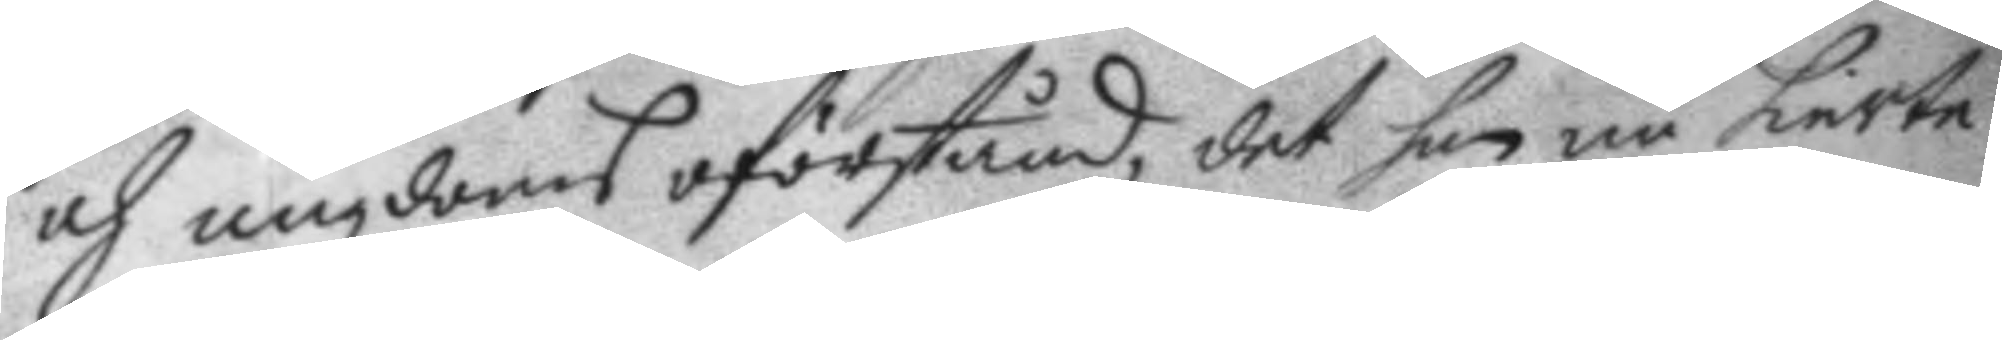och ungdoms oförstånd, det han nu hierte¬
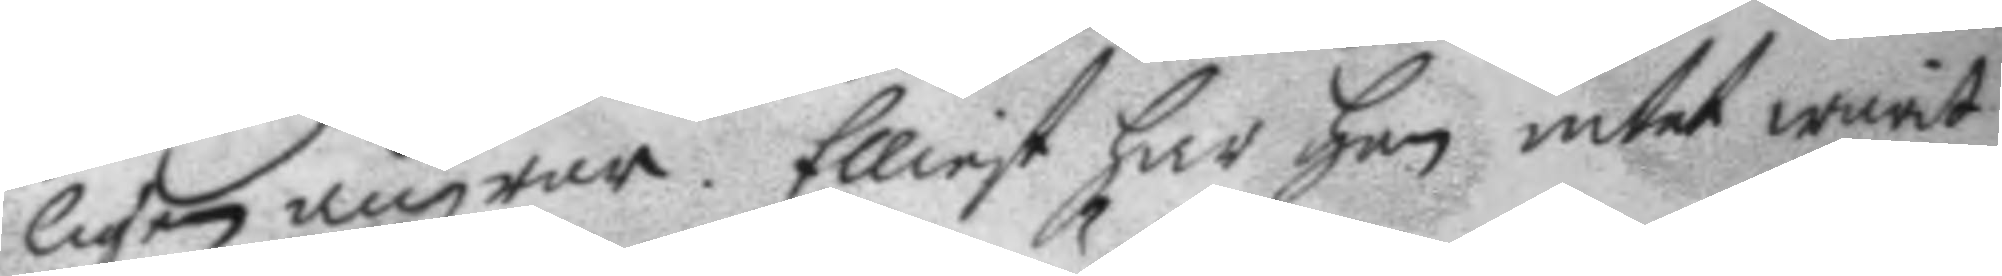ligen ångrar. Elliest har han intet warit
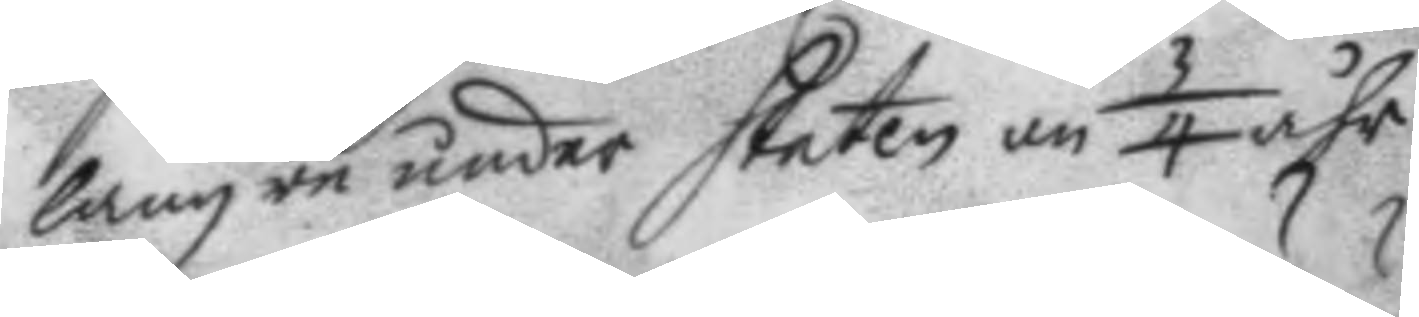längre under staten än 3/4 åhr.
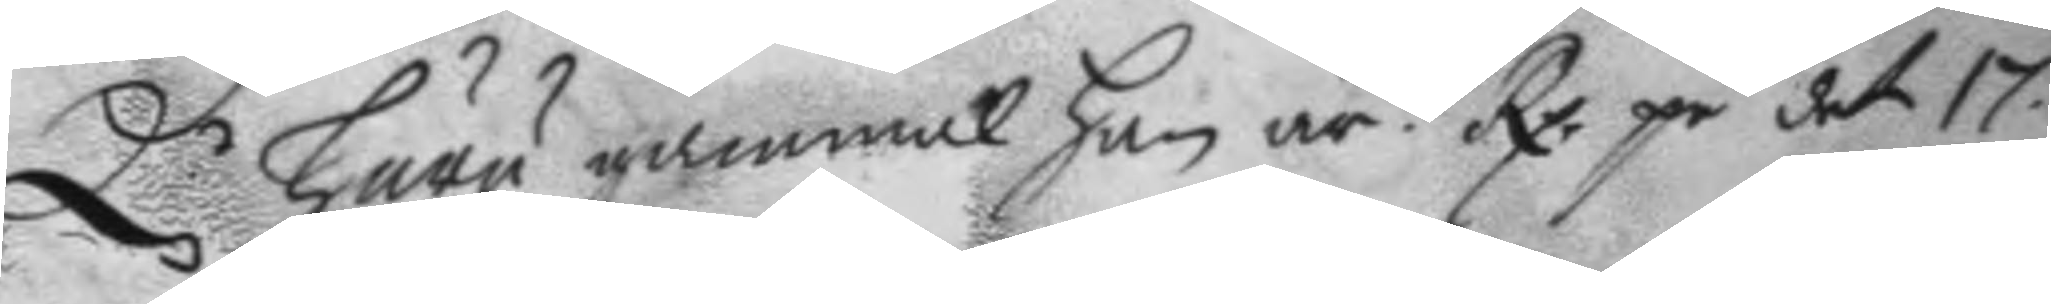Q. huru gammal han är? Rp. på det 17
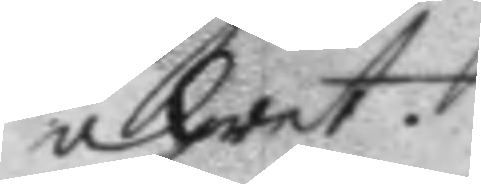åhret.
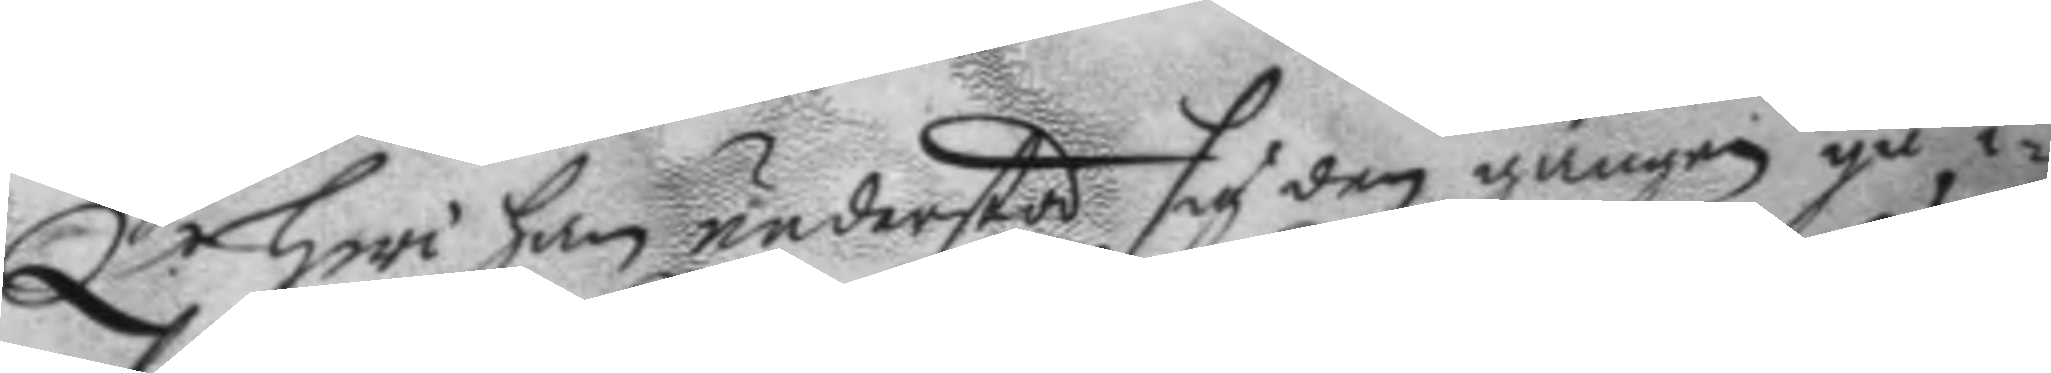Q.r hwi han understod sig den gången gå i¬
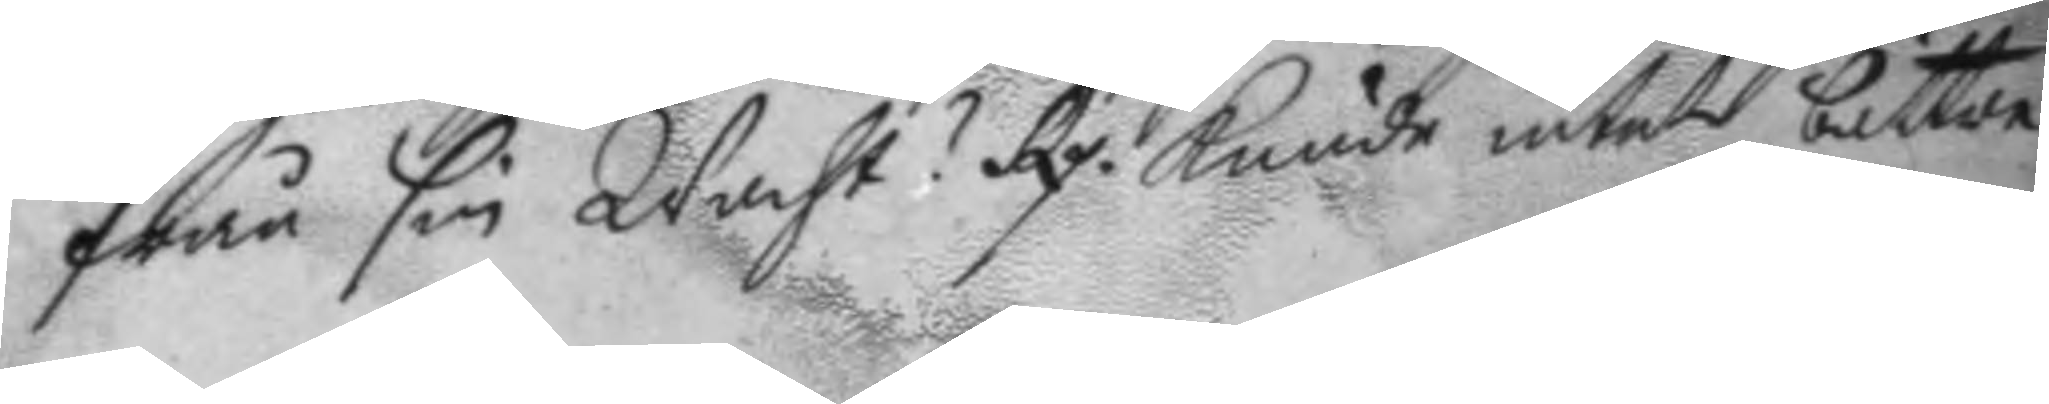från sin Wacht? Rp. kunde intet bättre
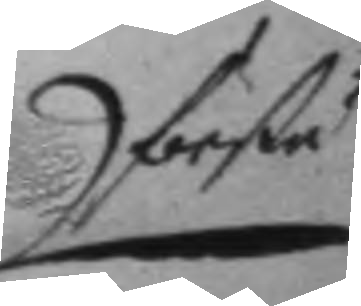förstå
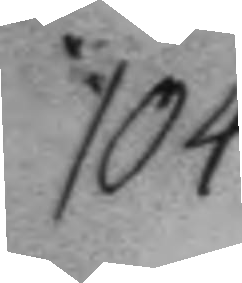104.
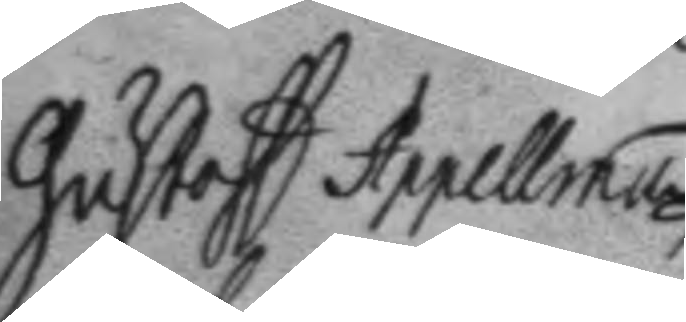Gustaff Appelman
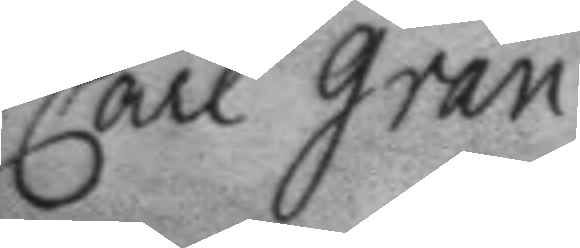Carl Gran.
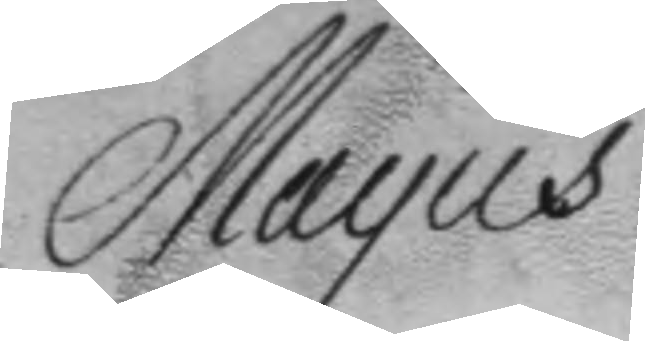Mayus
